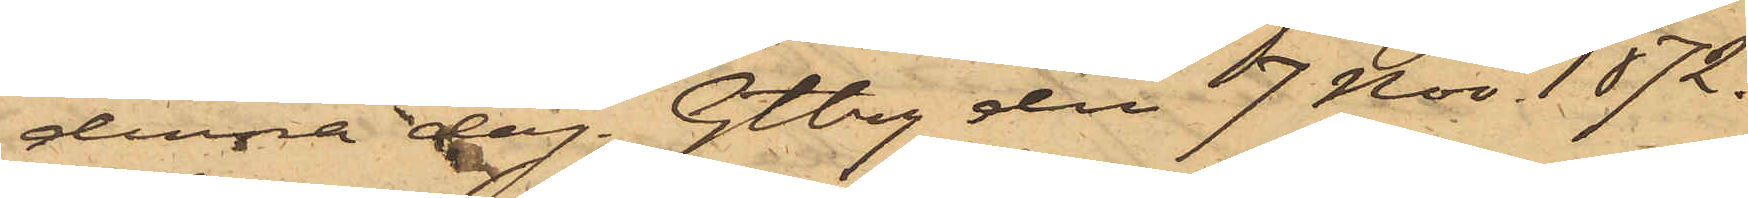denna dag. Gtbrg den 7 Nov. 1872.
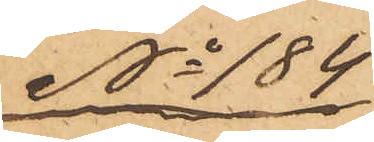No 184
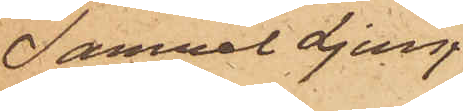Samuel Ljung¬
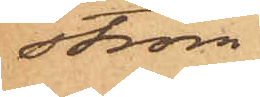ström.
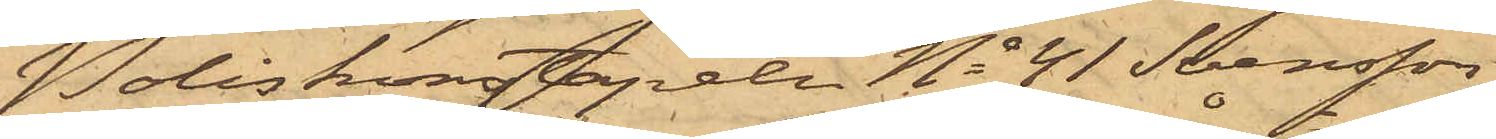Poliskonstapeln No 41 Svensson
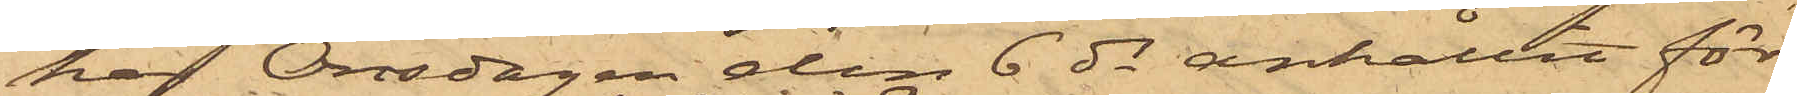har Onsdagen den 6 ds anhållit för
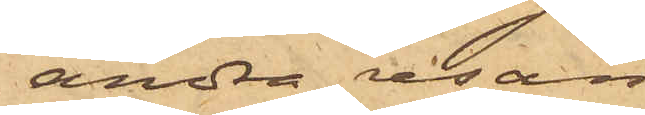andra resan
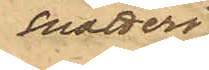snatteri
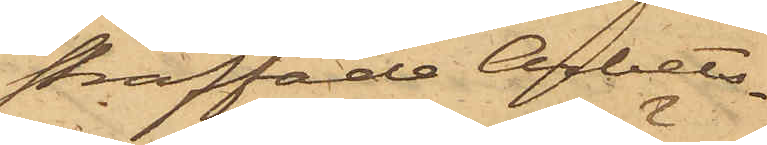straffade Arbets¬
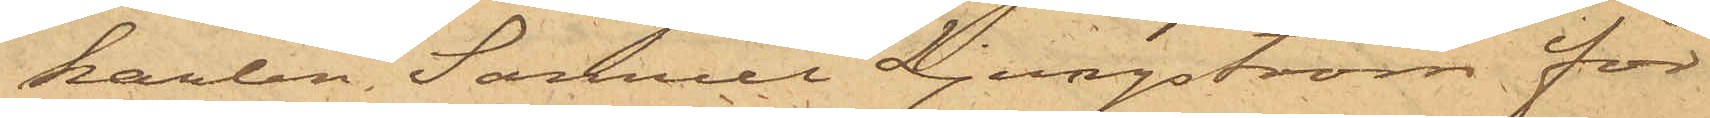karlen Samuel Ljungström för
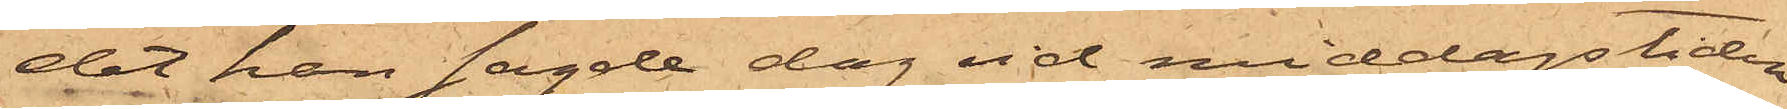det han sagde dag vid middagstiden
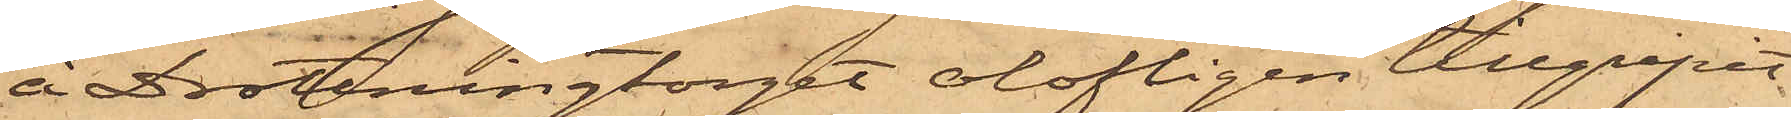å Drottningtorget olofligen tillgripit
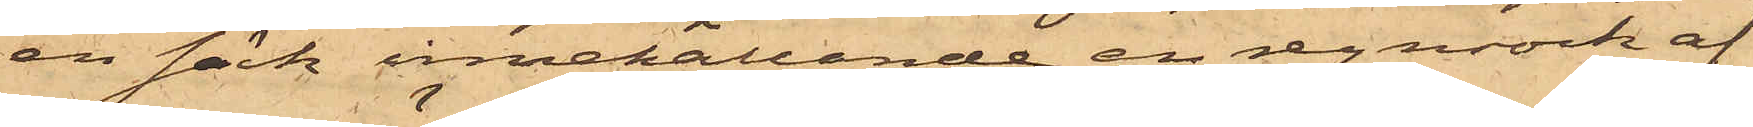en säck innehållande en regnrock af
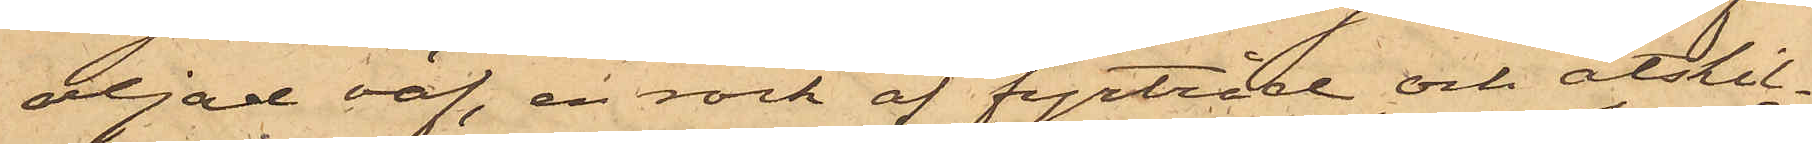oljad väf, en rock af fyrtråd och åtskil¬
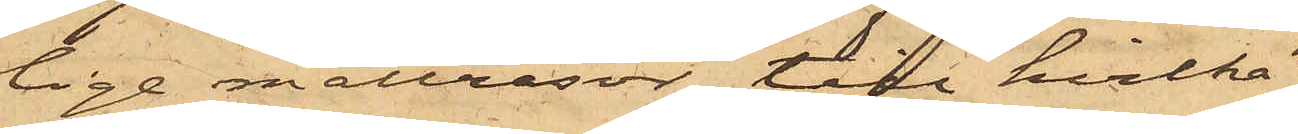lige mattrasor, till hvilka
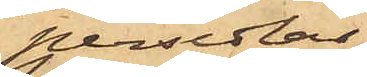persedlar
